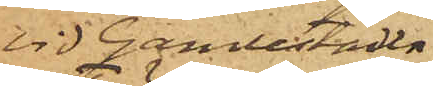vid Gamlestaden
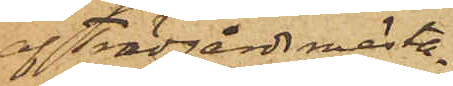af Trädgårdsmästa¬
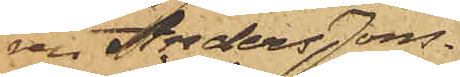ren Anders Jons¬
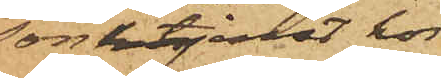son i tjenst hos
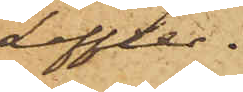Leffler.
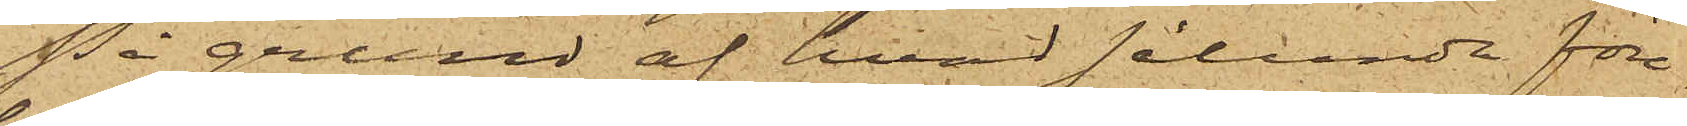På grund af hvad sålunda före¬
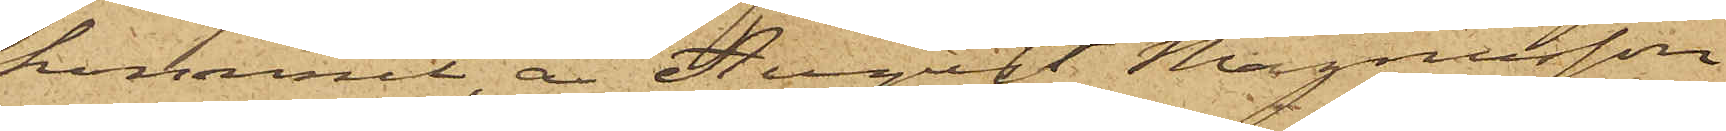kommit, är August Magnusson
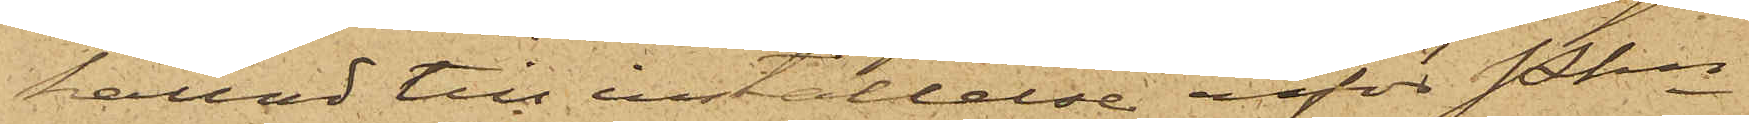kallad till inställelse inför Pkn
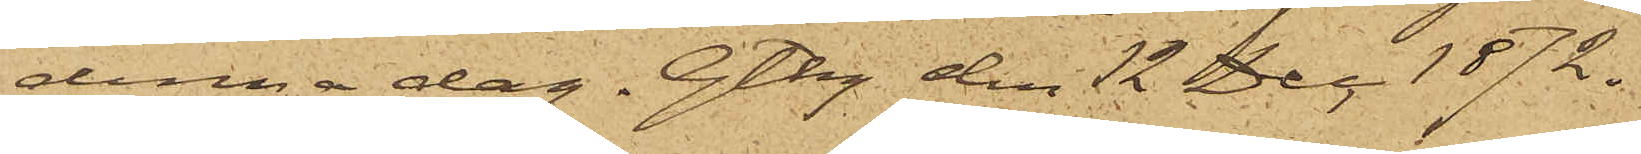denna dag. Gtbg den 12 Dec 1872.
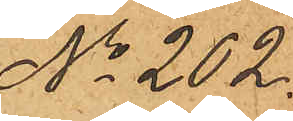No 202.
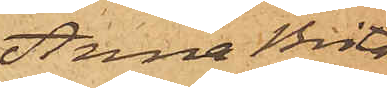Anna Brita
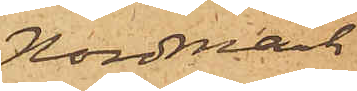Nordmark
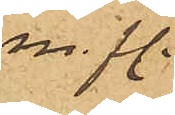m. fl.
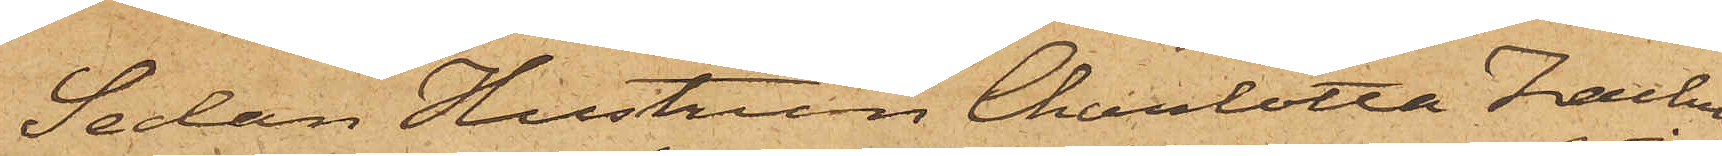Sedan Hustrun Charlotta Zachris¬
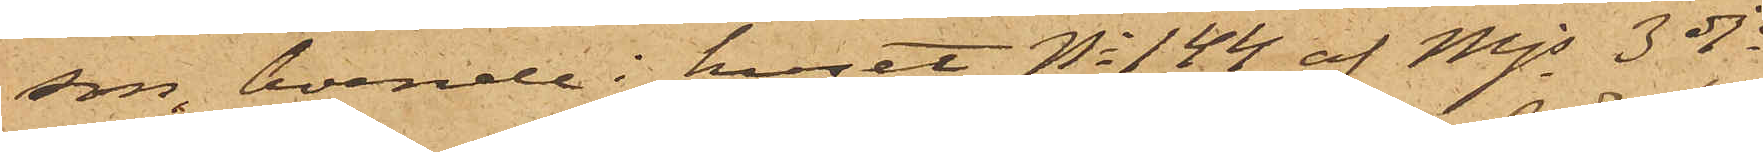son, boende i huset No 144 af Mjs 3dje
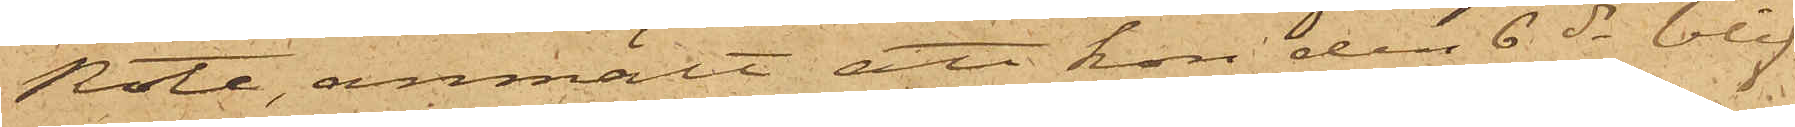Rote, anmält att hon den 6 ds blif¬
